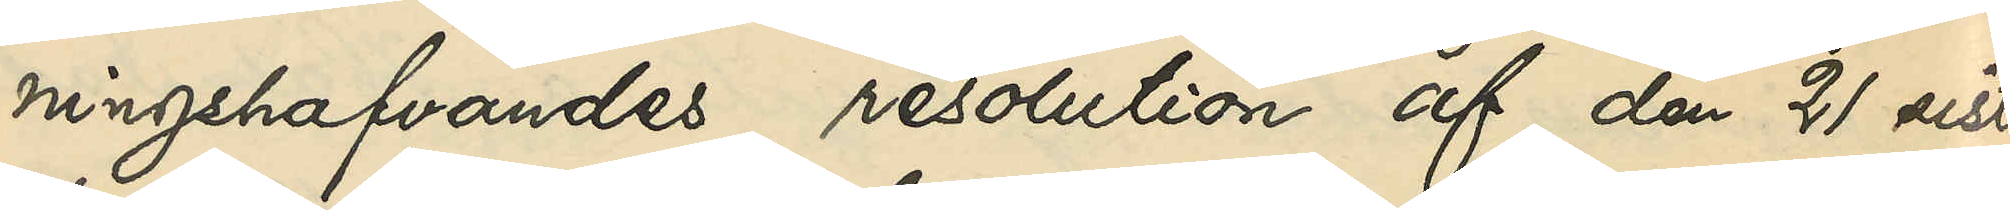ningshafvandes resolution af den 21 sist¬
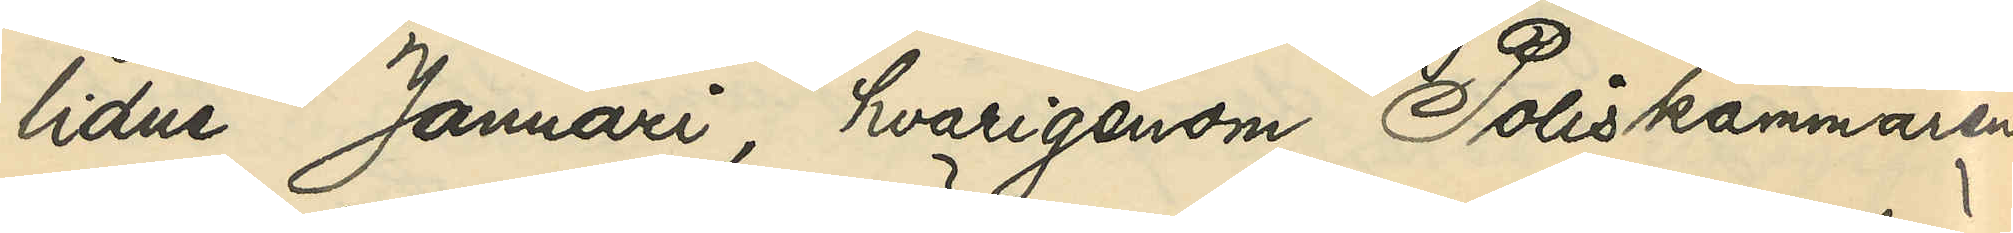lidne Januari, hvarigenom Poliskammaren
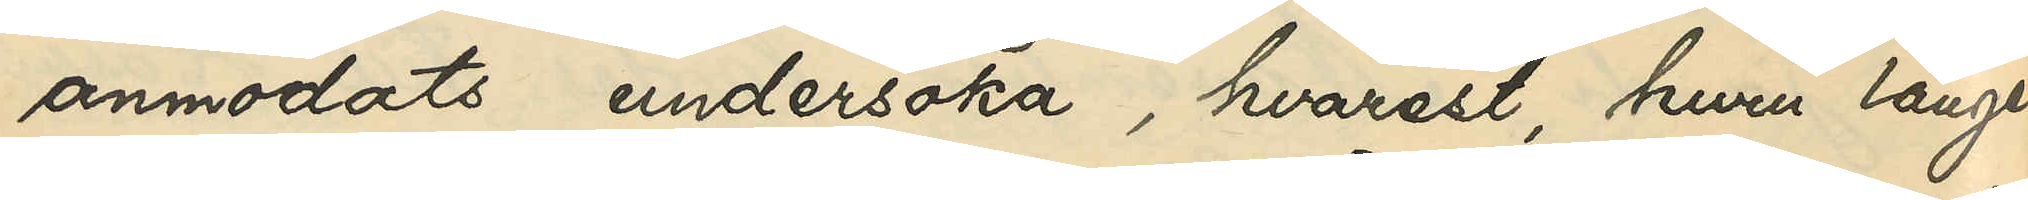anmodats undersöka, hvarest, huru länge
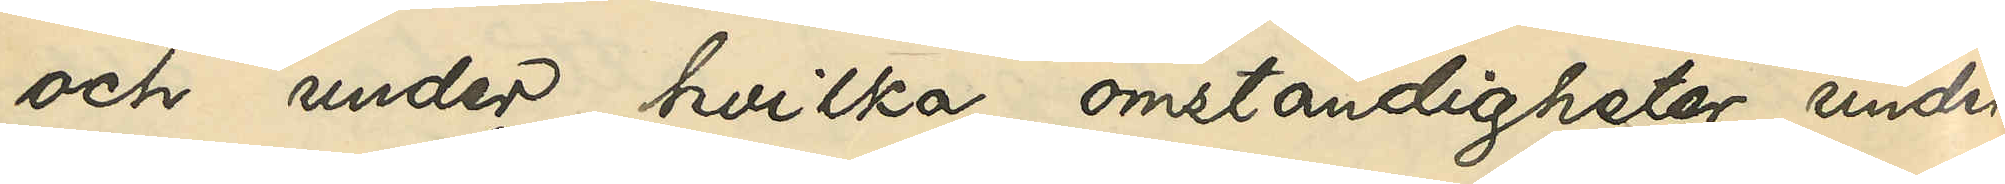och under hvilka omständigheter under
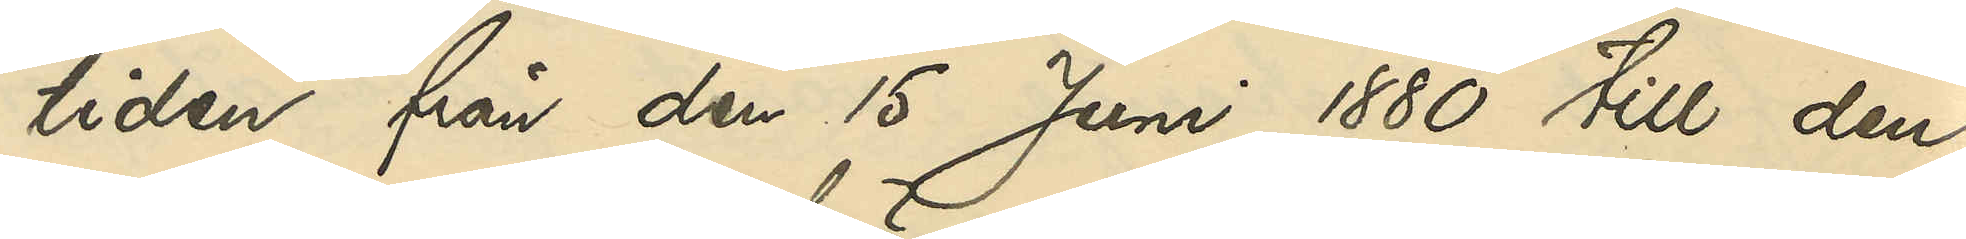tiden från den 15 Juni 1880 till den
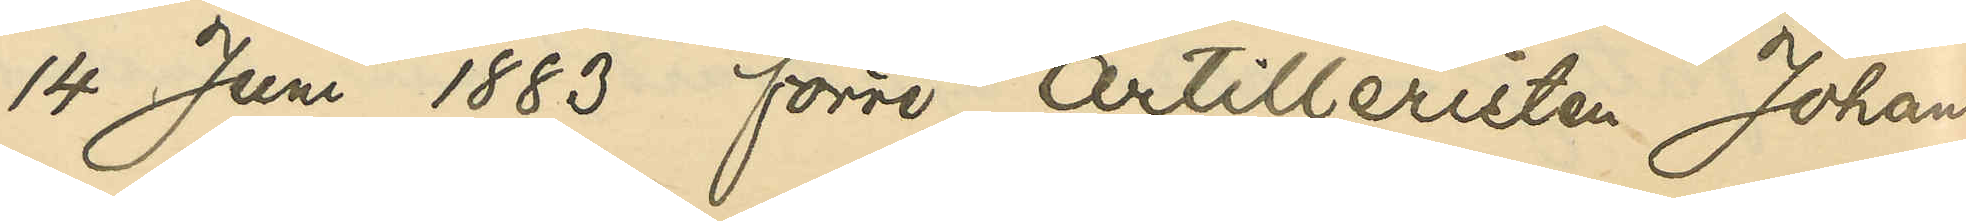14 Juni 1883 förre Artilleristen Johan
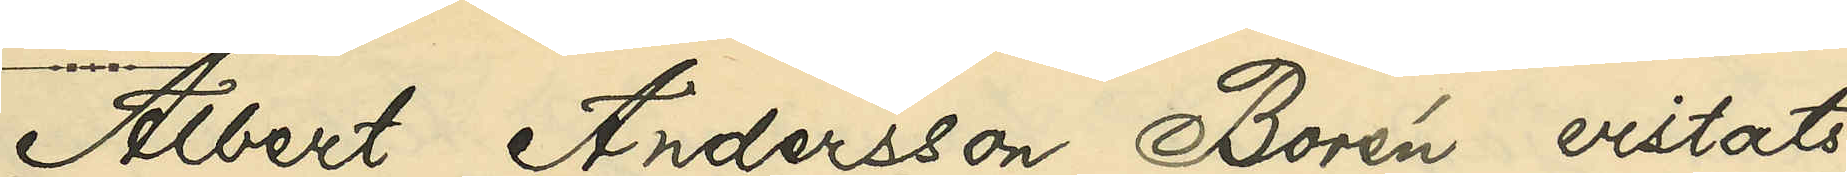Albert Andersson Borén vistats 
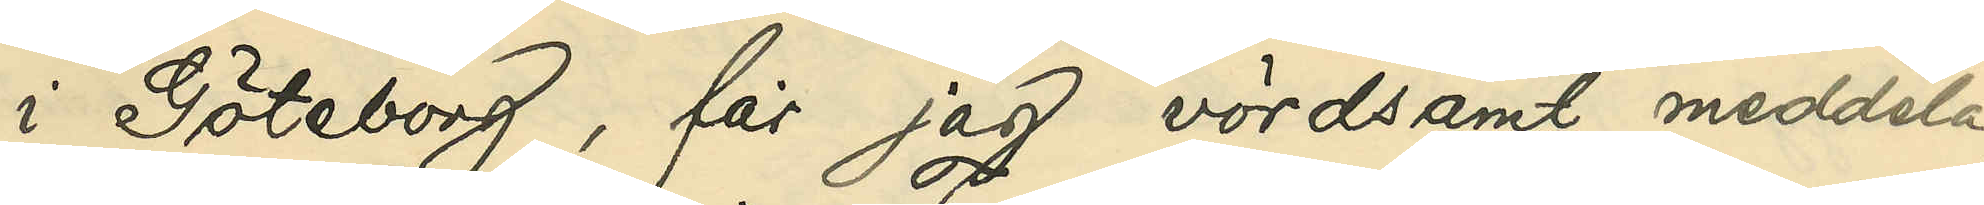i Göteborg, får jag vördsamt meddela,
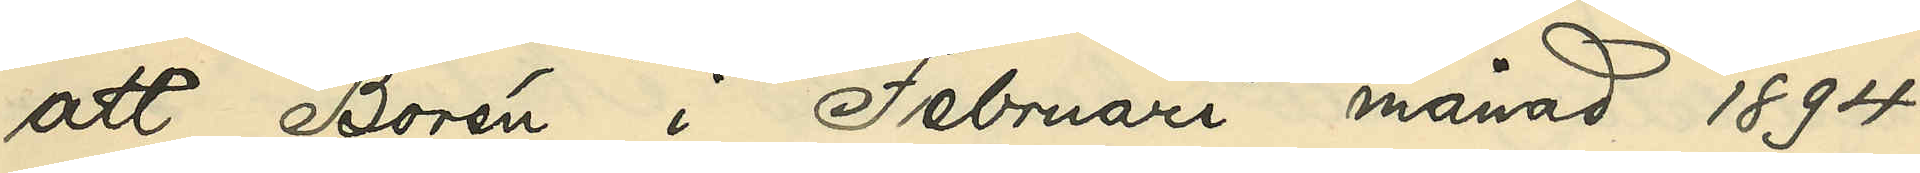att Borén i Februari månad 1894
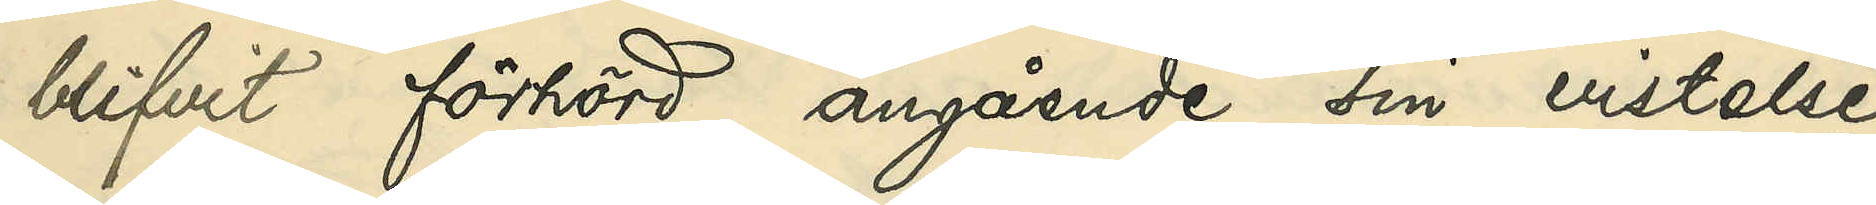blifvit förhörd angående sin vistelse
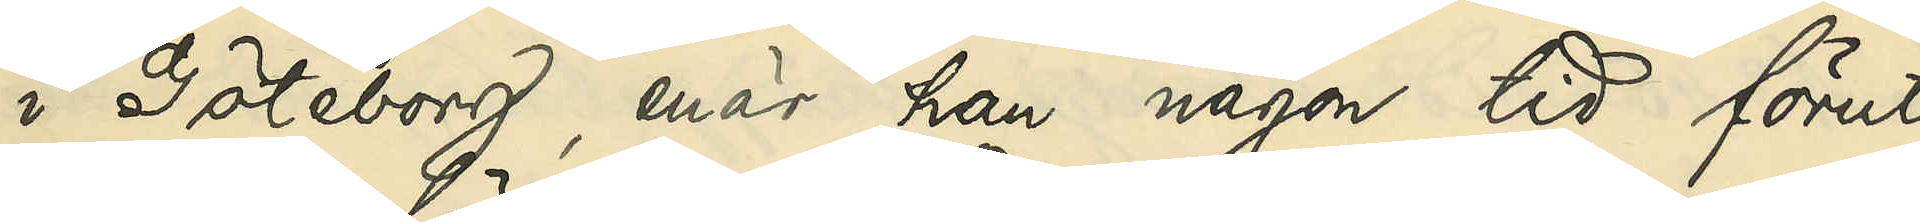i Göteborg, enär han någon tid förut
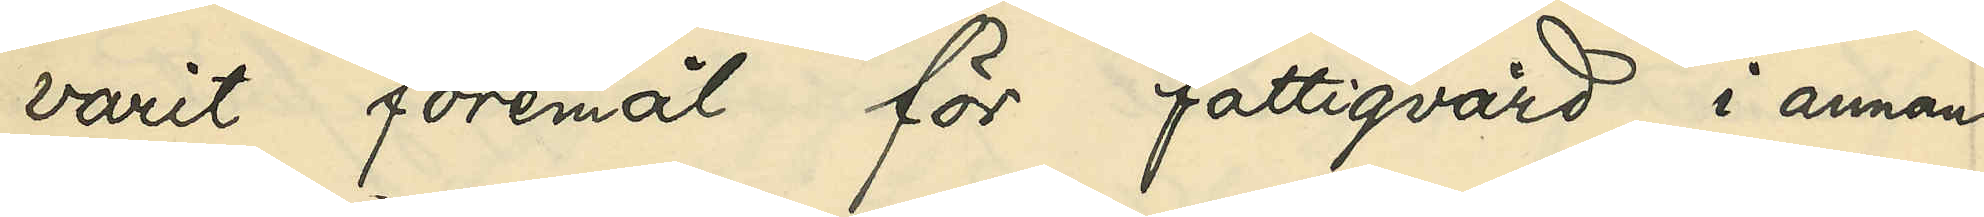varit föremål för fattigvård i annan
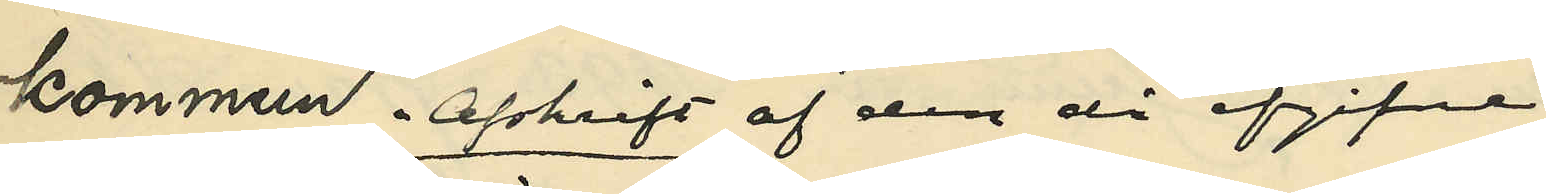kommun. Afskrift af den då uppgifvne
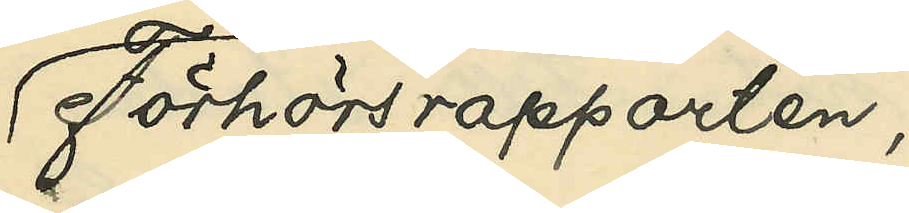Förhörsrapporten,
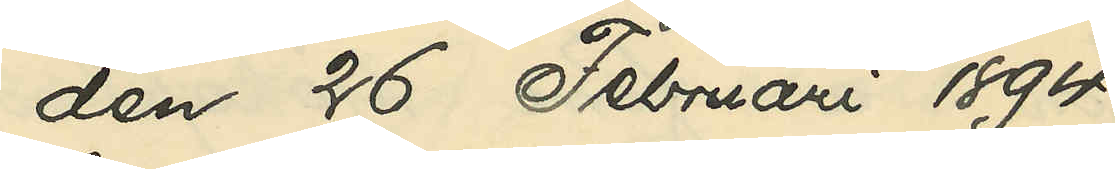den 26 Februari 1894
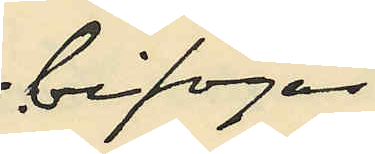bifogas
